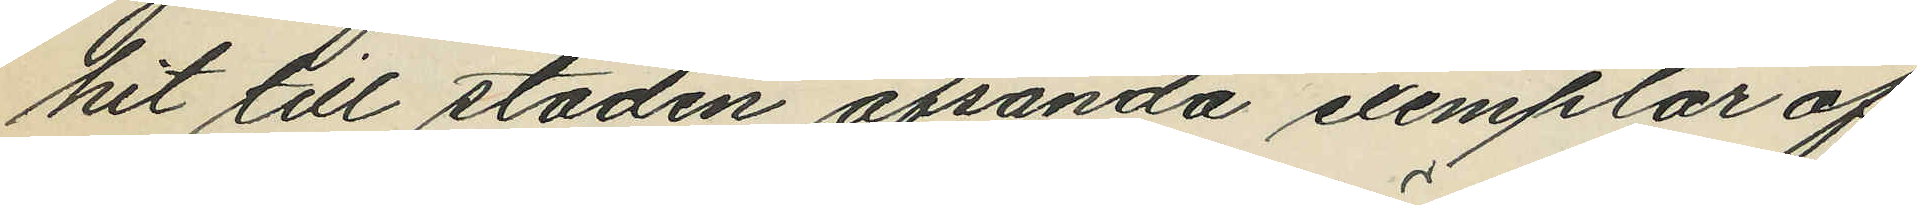hit till staden afsända exemplar af
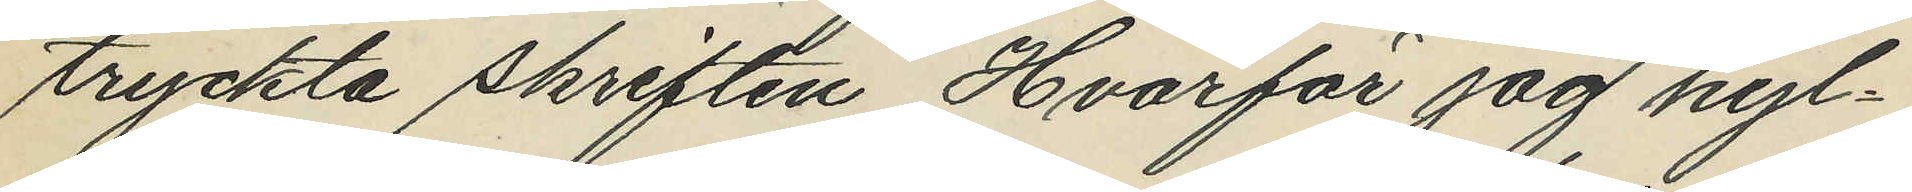tryckta skriften, "Hvarför jag hyl¬
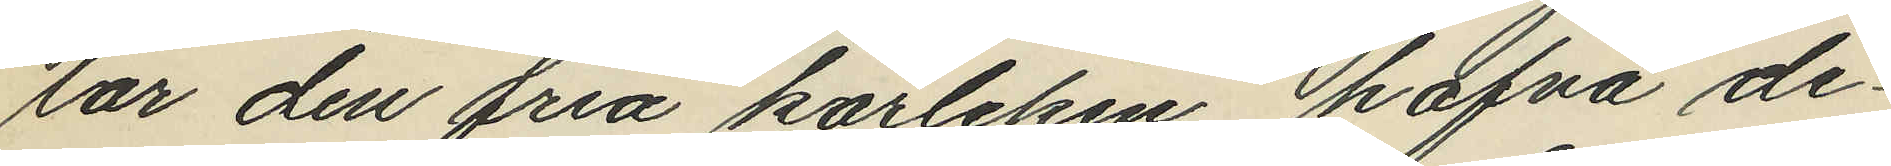lar den fria kärleken" hafva de¬
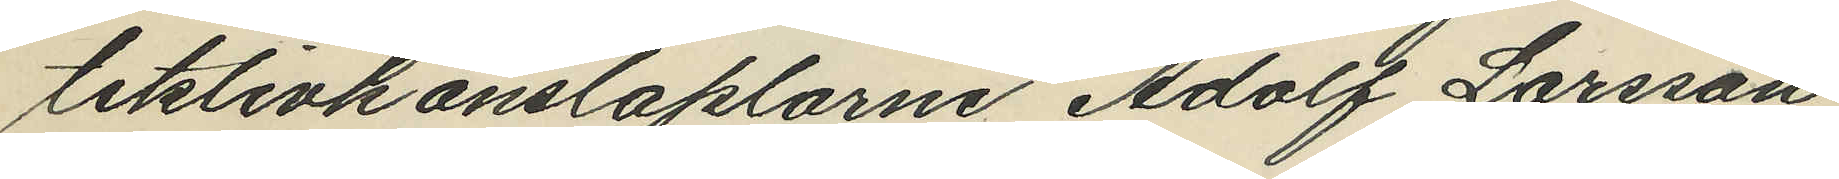tektivkonstaplarne Adolf Larsson
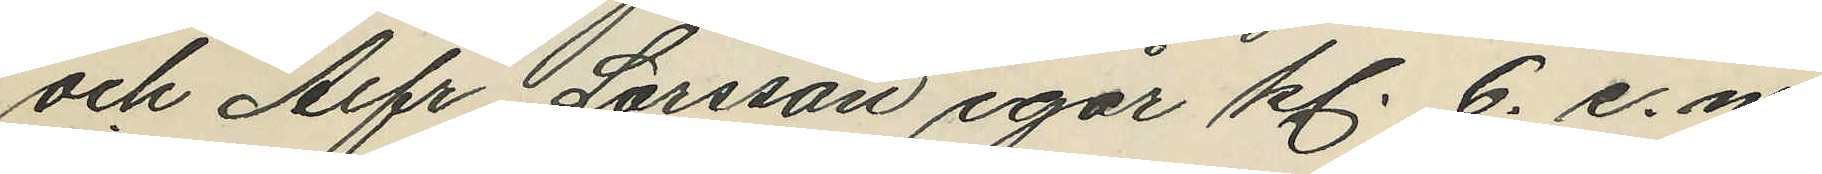och Alfr Larsson igår kl. 6. e.m.
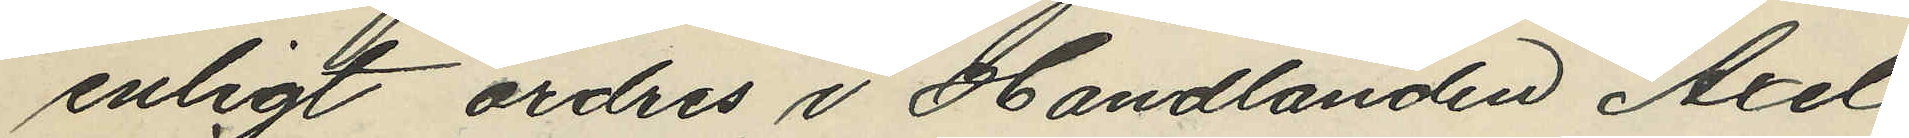enligt ordres i Handlanden Axel
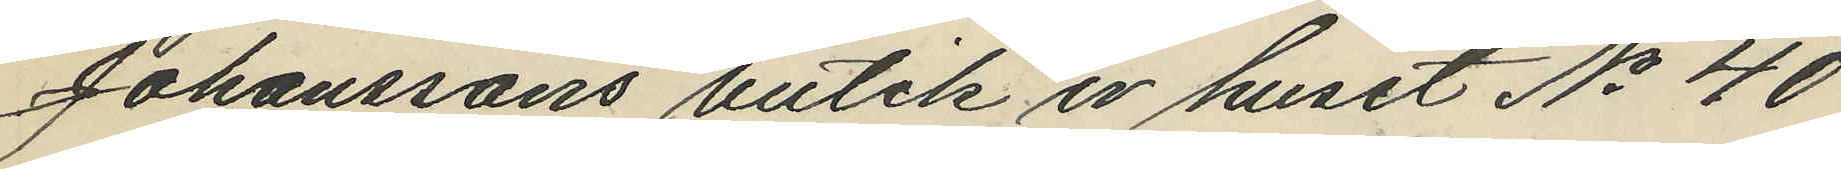Johanssons butik i huset No 40
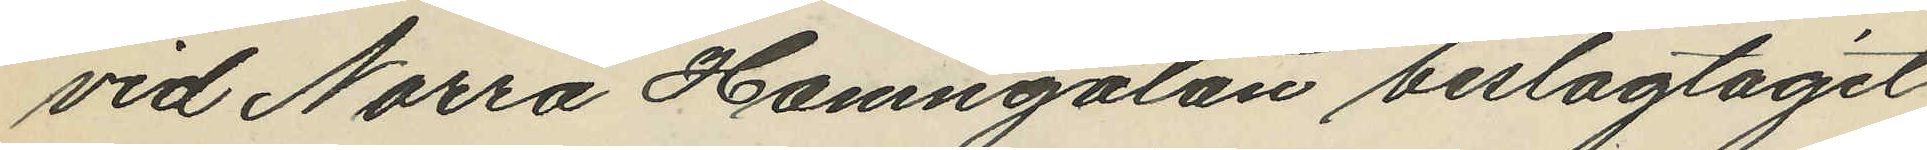vid Norra Hamngatan beslagtaget
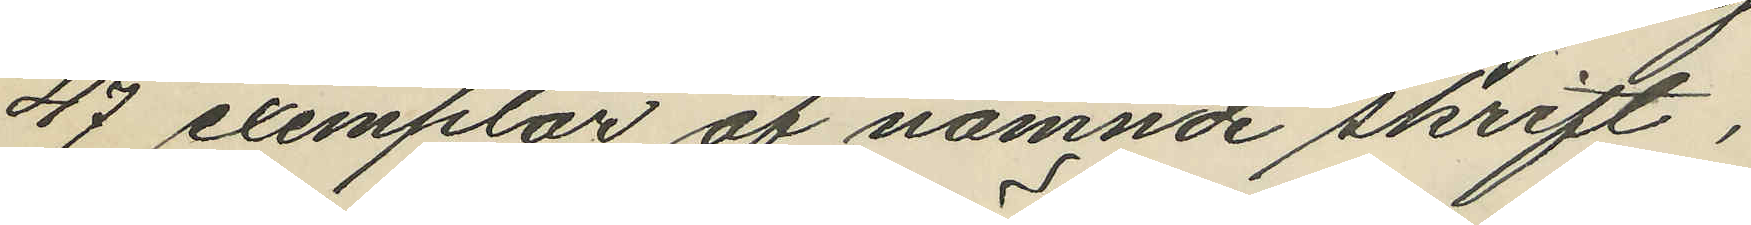47 exemplar af nämnde skrift,
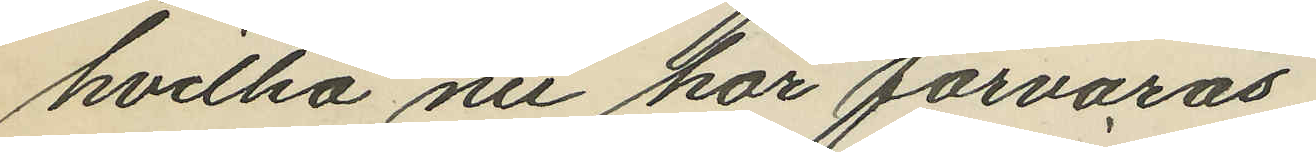hvilka nu här förvaras.
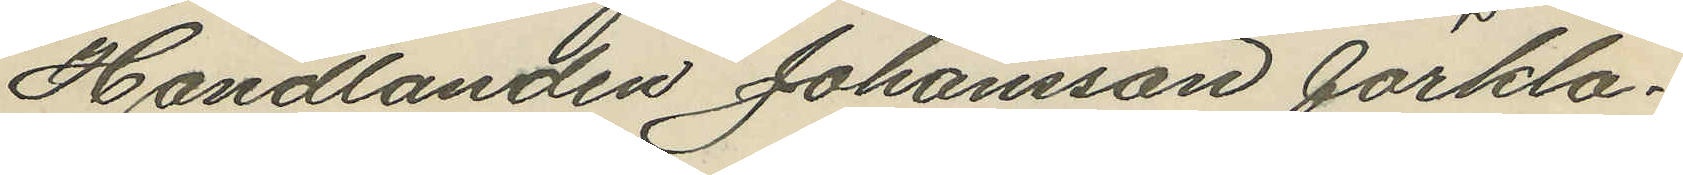Handlanden Johansson förkla¬
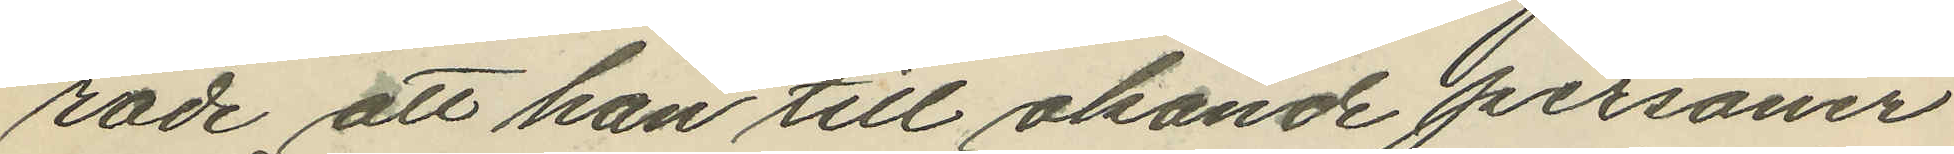rade att han till okände personer
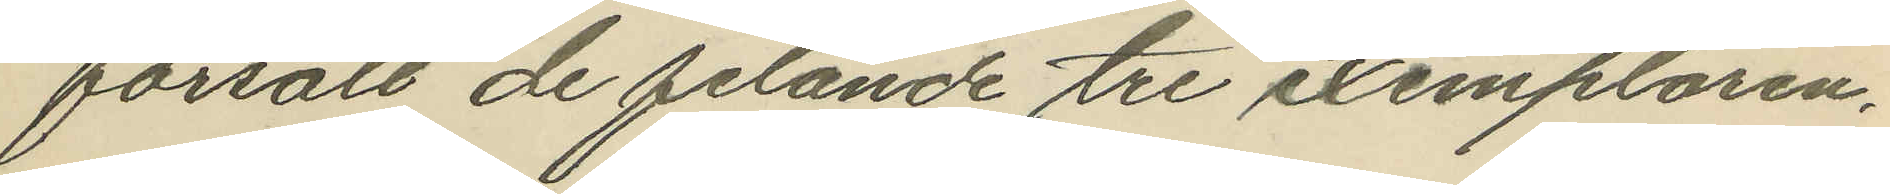försålt de felande tre exemplaren,
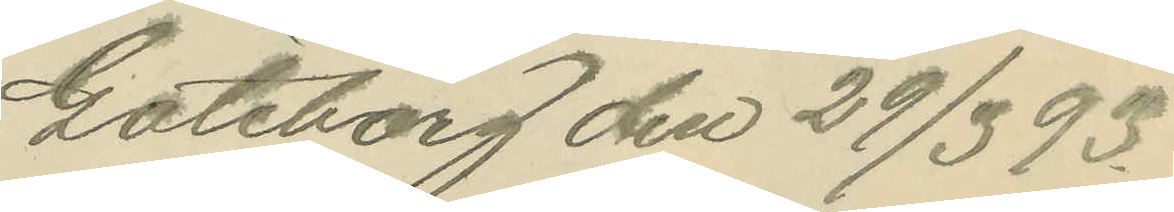Göteborg den 29/3 93.
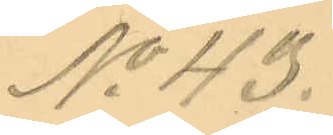No 43.
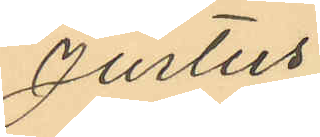Justus
